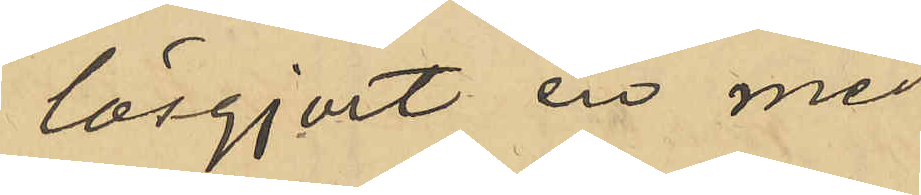lösgjort en med
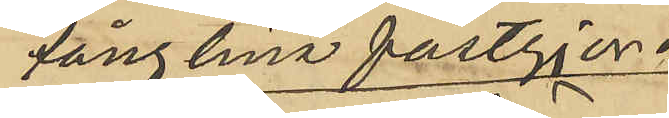fånglina fastgjord
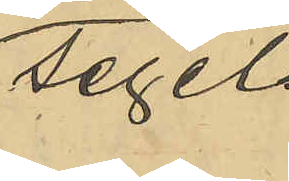segel-
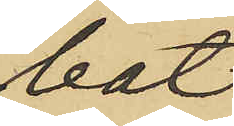båt,
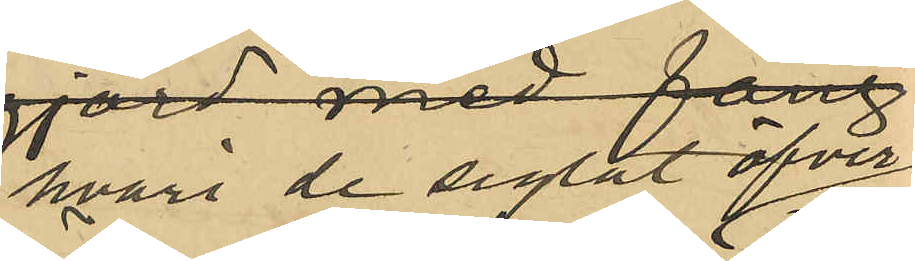hvari de seglat öfver
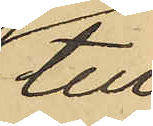till
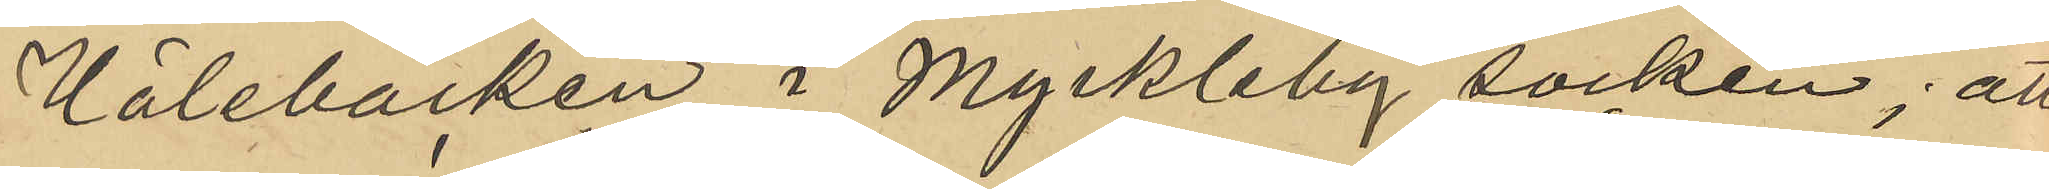Hålebäcken i Myckleby socken; att
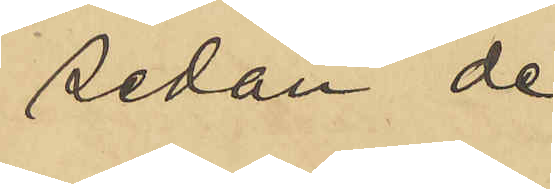sedan de
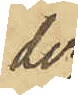der
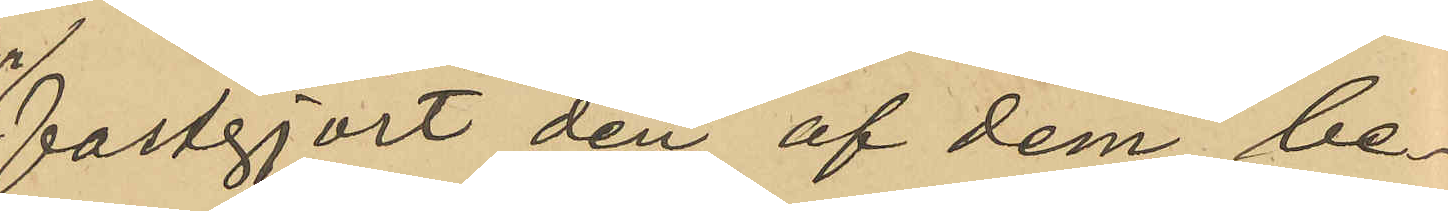fastgjort den af dem be¬
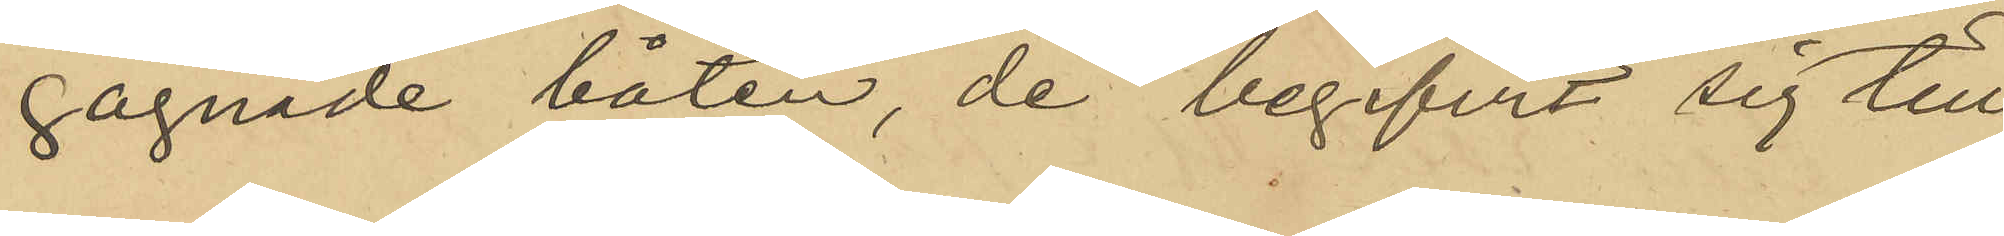gagnade båten, de begifvit sig till
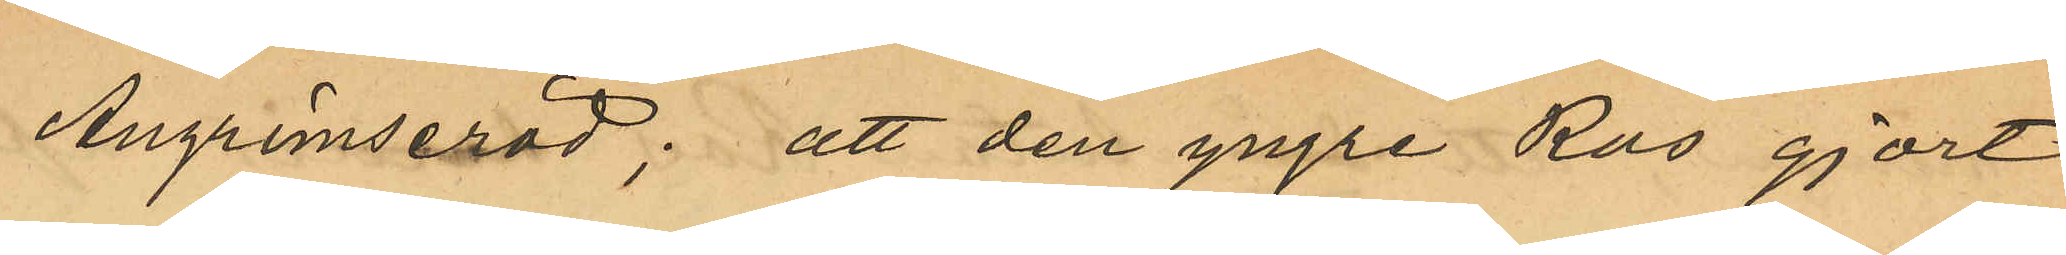Angrimseröd; att den yngre Ros gjort
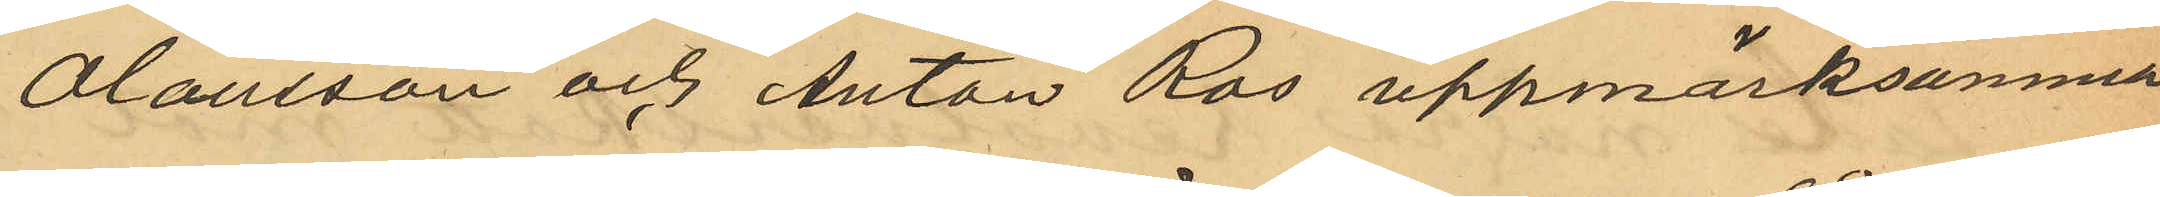Oalusson och Anton Ros uppmärksamma
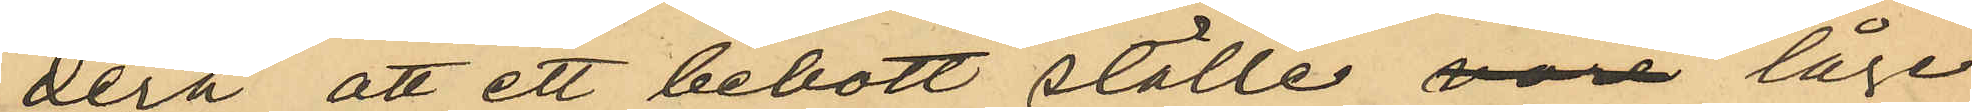derå att ett bebott ställe vore låge
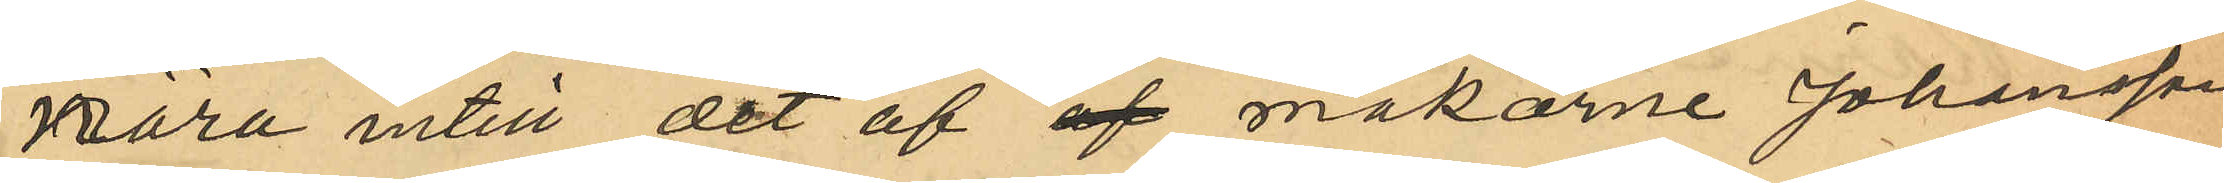nära intill det af af makarne Johansson
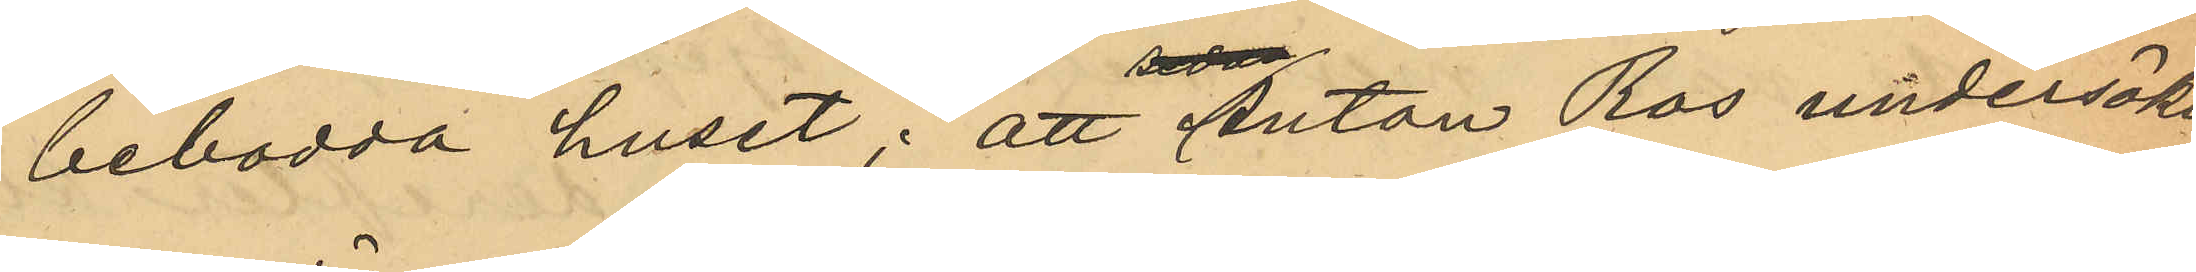bebodda huset; att Anton Ros undersökt
